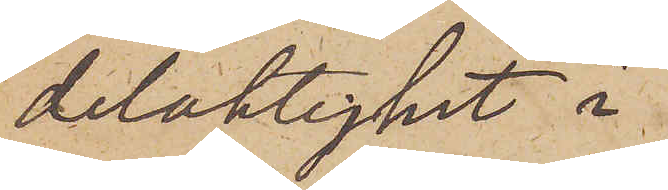delaktighet i
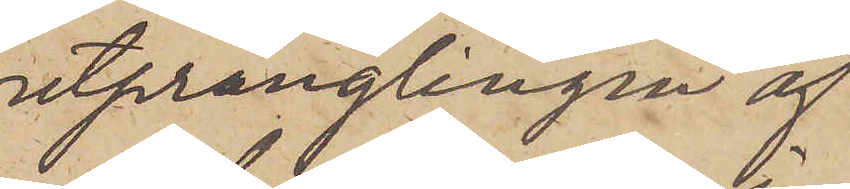utprånglingen af
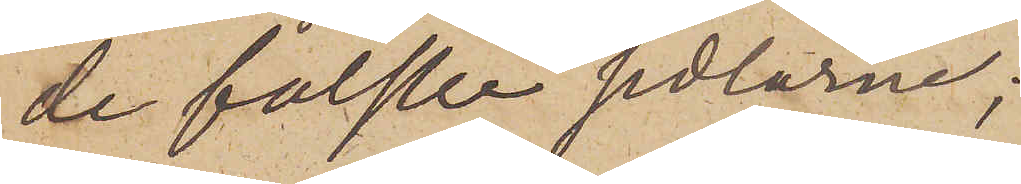de falske sedlarne;
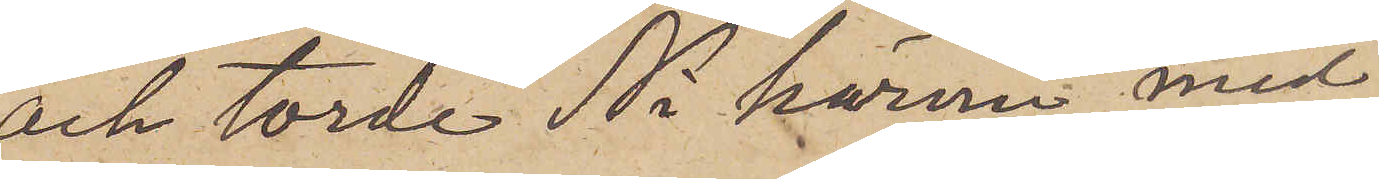och torde Ni härmed med
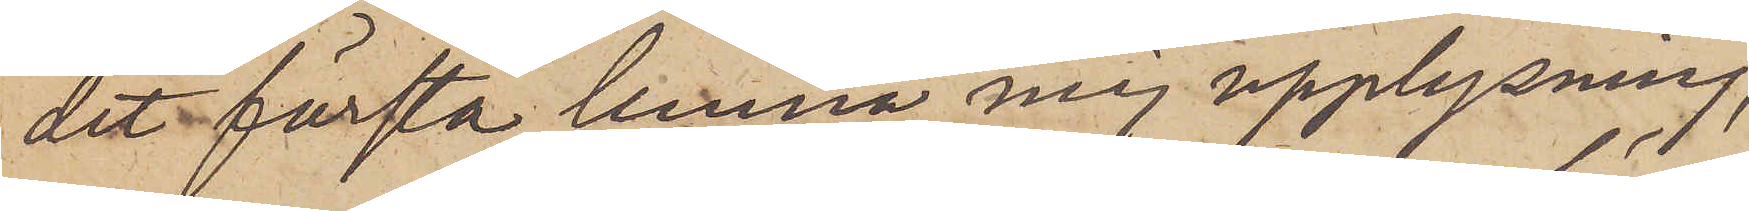det första lemna mig upplysning,
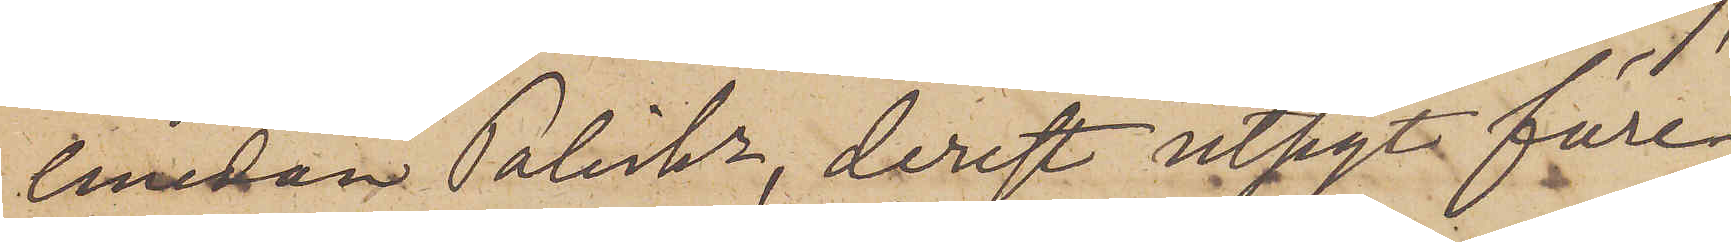emedan Poliskn, derest utsikt före¬
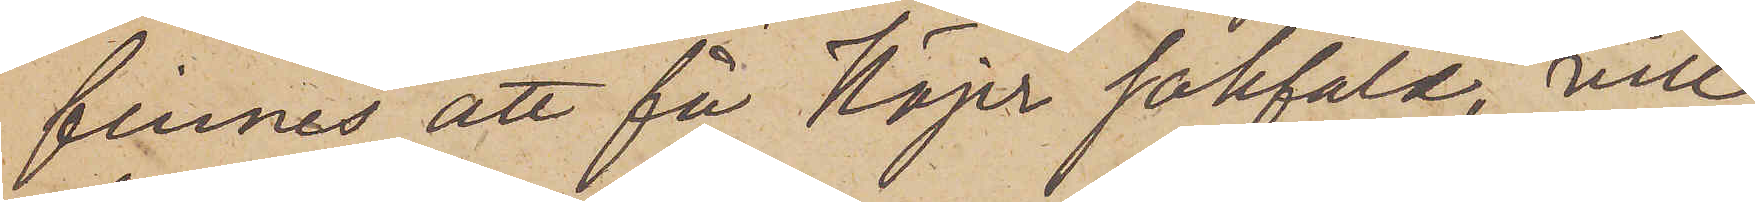finnes att få Höjer sakfäld, vill
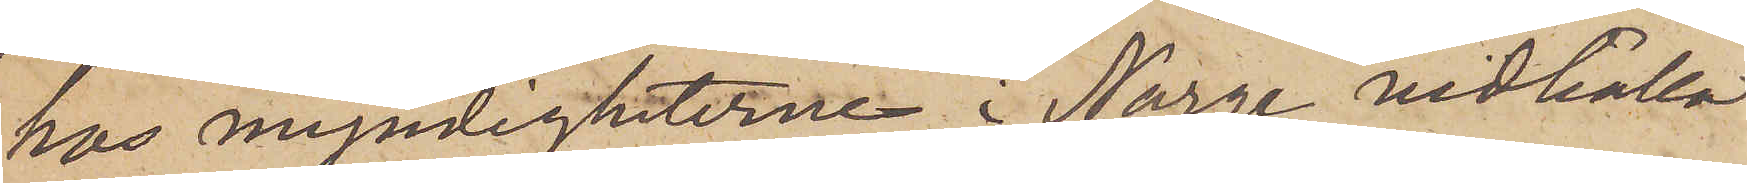hos myndigheterne i Norge vidhålla
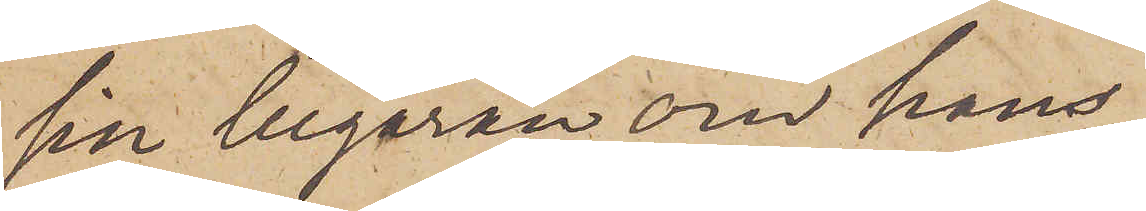sin begäran om hans
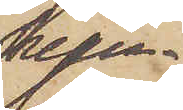hem¬
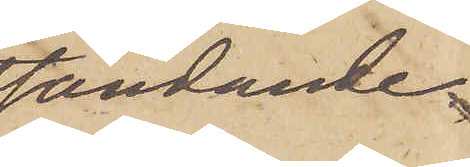sändande.
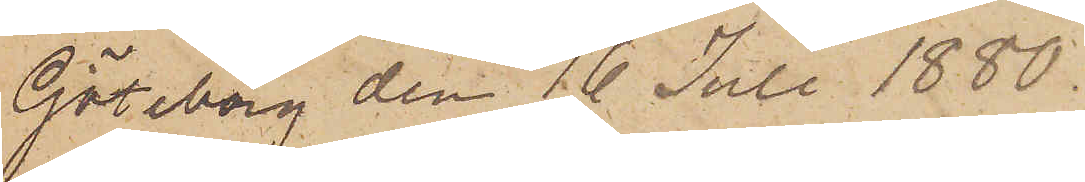Göteborg den 16 Juli 1880.
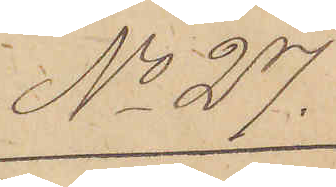No 27.
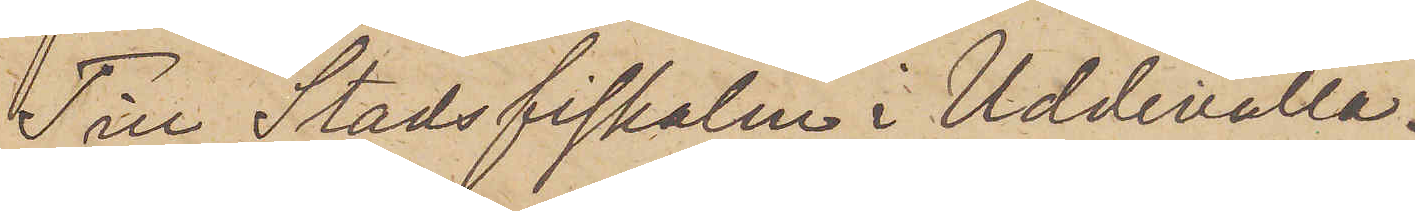Till Stadsfiskalen i Uddevalla.
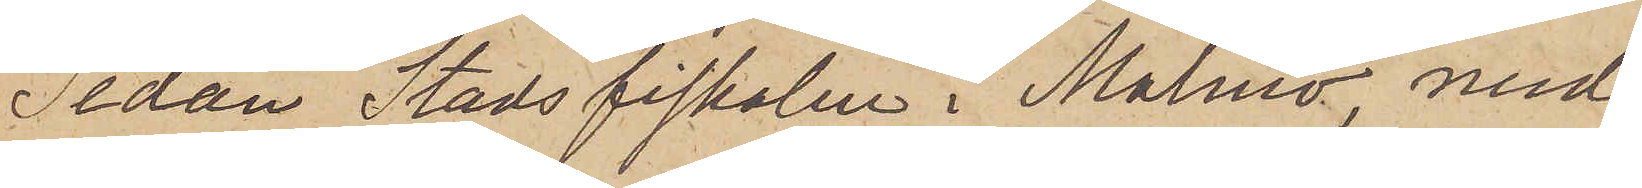Sedan Stadsfiskalen i Malmö, med
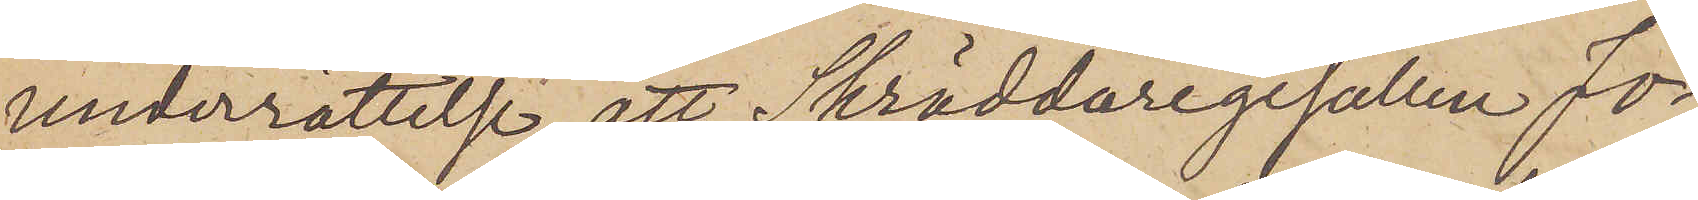underrättelse att Skräddaregesällen Jo¬
